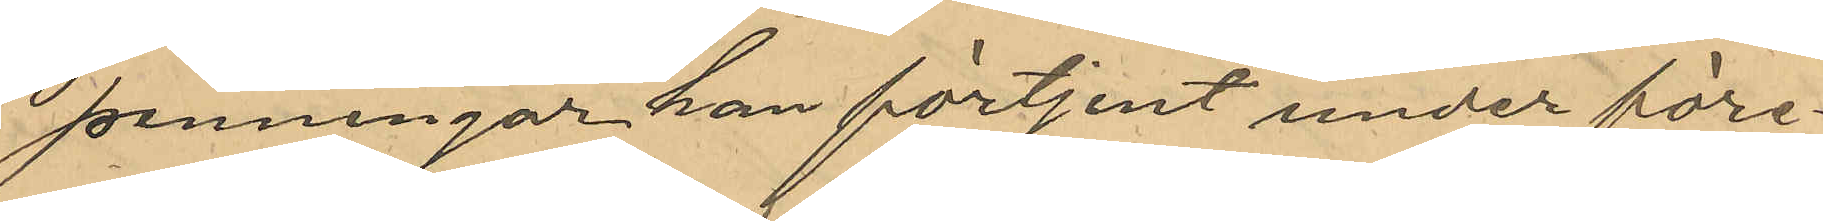penningar han förtjent under före¬
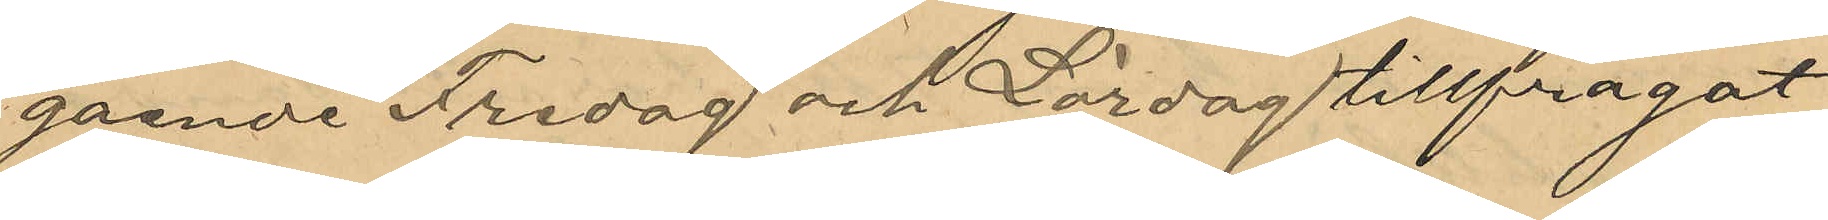gående Fredag och Lördag tillfrågat
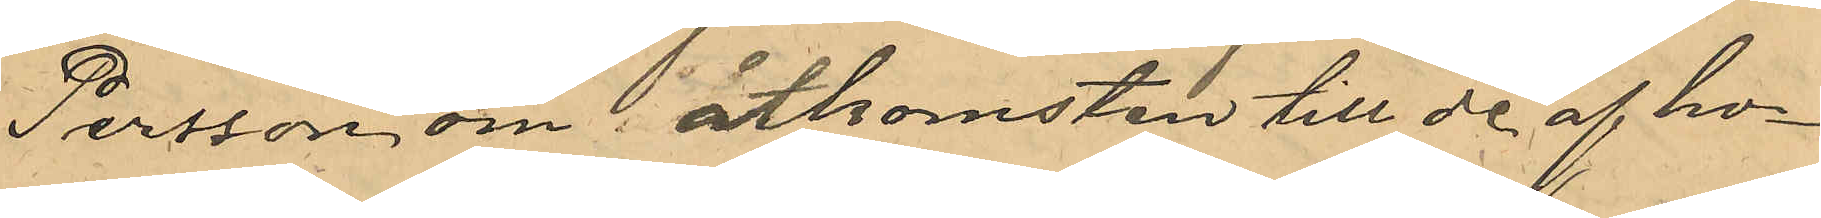Persson om åtkomsten till de af ho¬
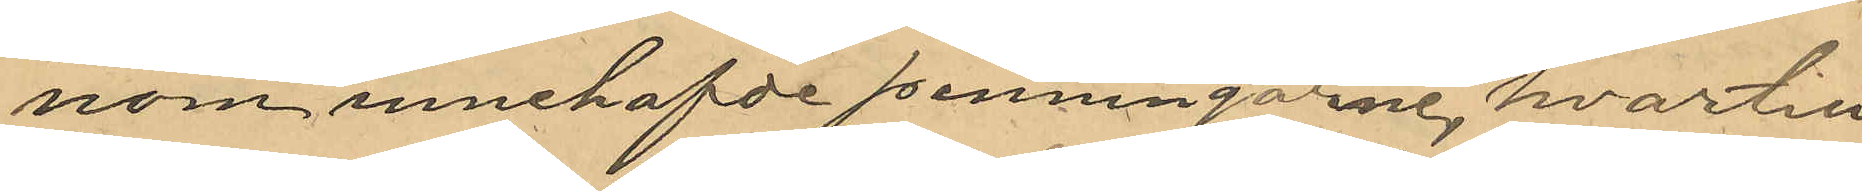nom innehafde penningarne, hvartill
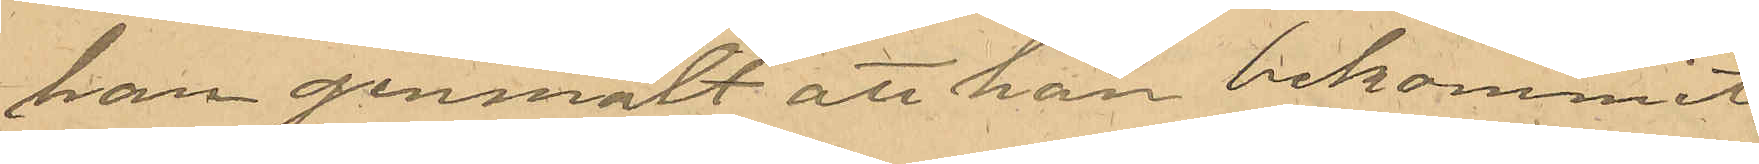han genmält att han bekommit
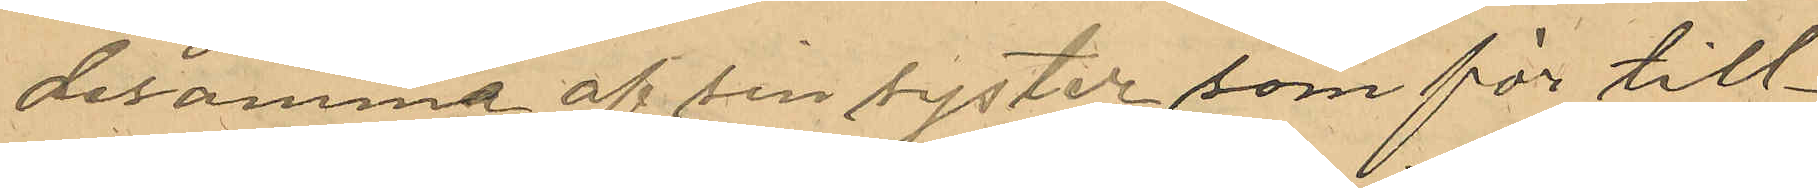desamma af sin syster som för till¬
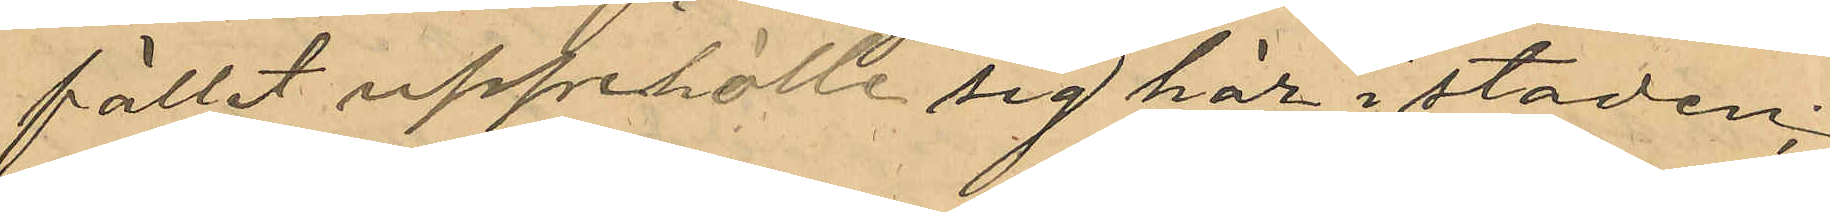fället uppehölle sig här i staden;
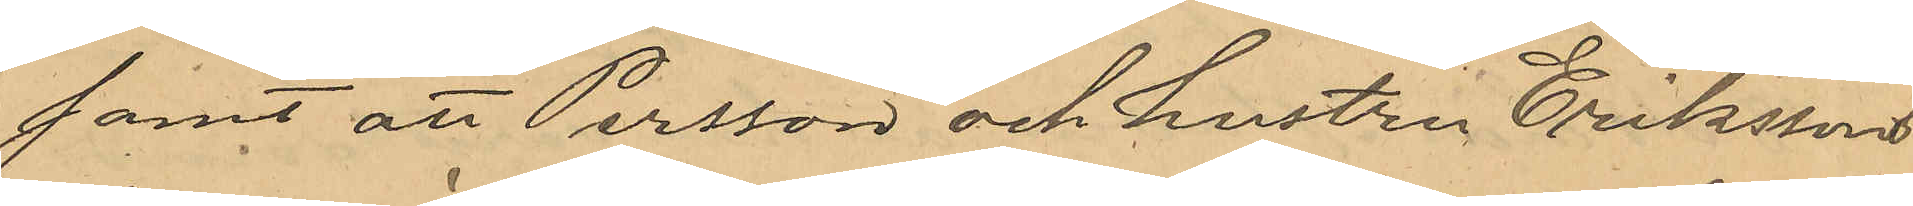samt att Persson och hustru Erikssons
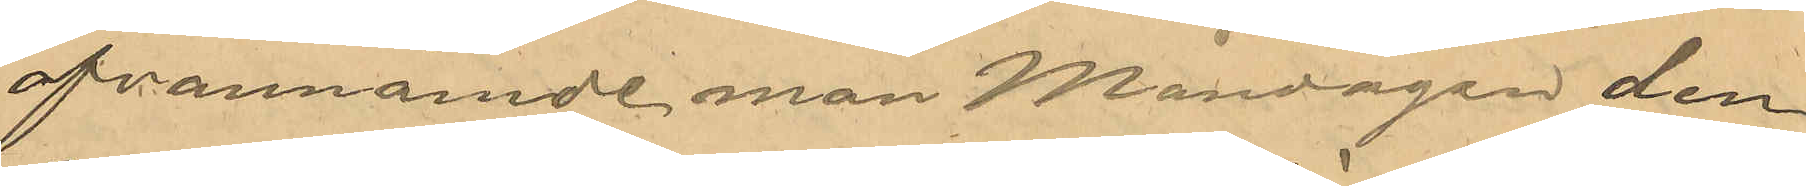ofvannämnde man Måndagen den
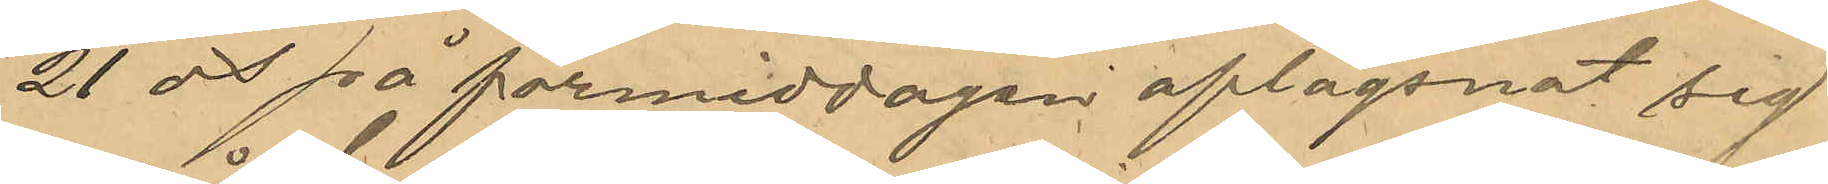21 ds på förmiddagen aflägsnat sig
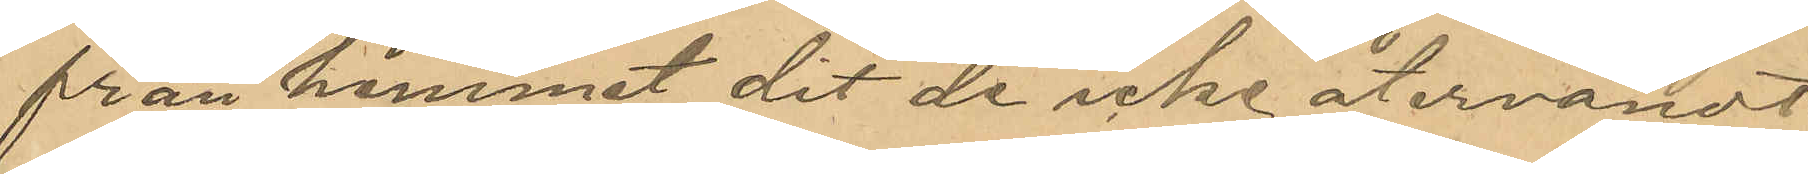från hemmet dit de icke återvändt
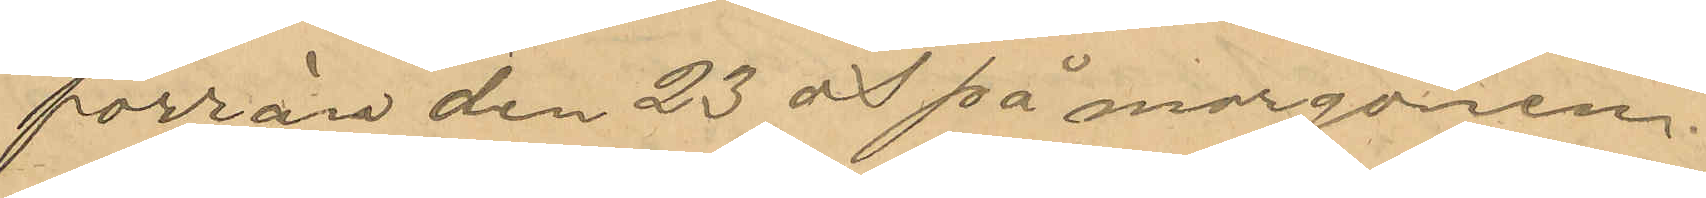förrän den 23 ds på morgonen.
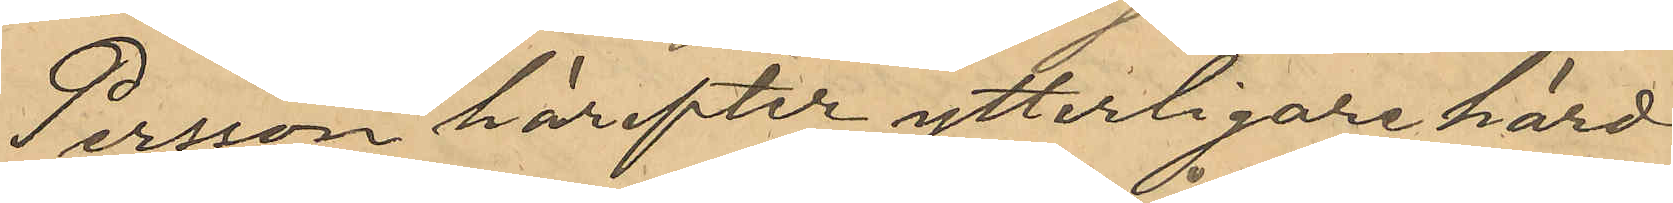Persson härefter ytterligare hörd
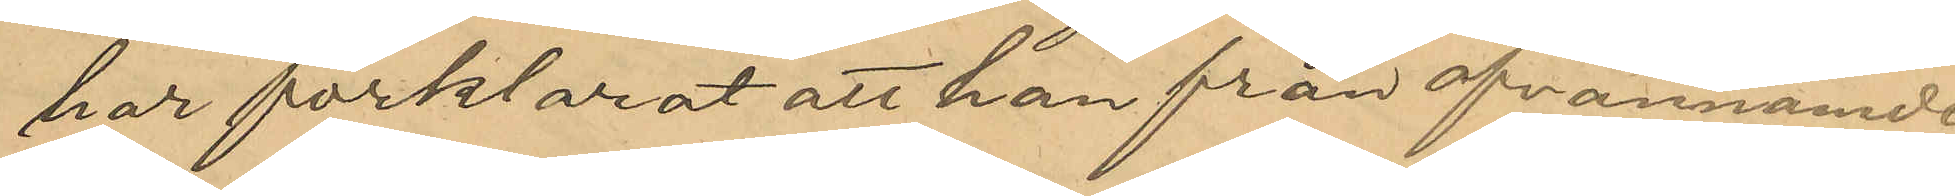har förklarat att han från ofvannämnde
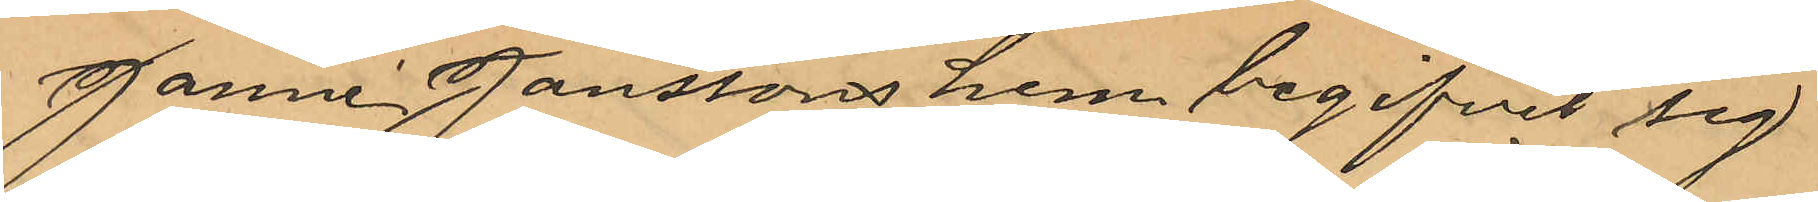Janne Janssons hem, begifvit sig
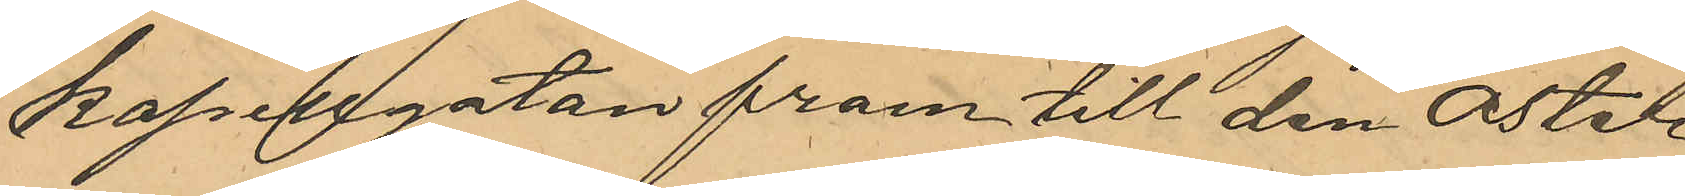Kapellgatan fram till den öster
